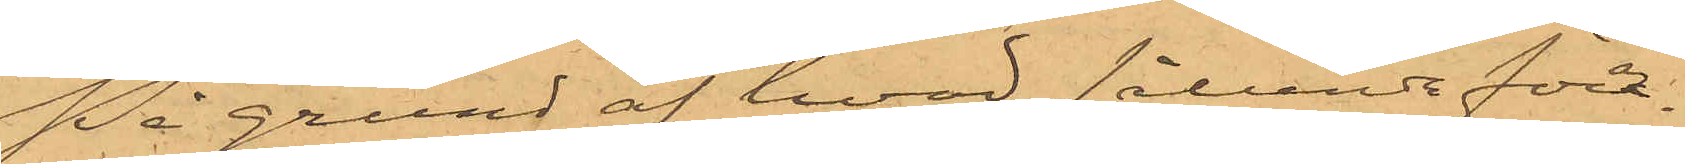På grund af hvad sålunda före¬
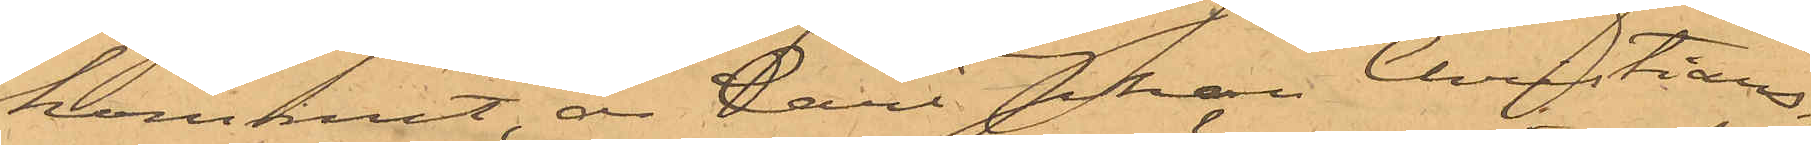kommit, är Carl Johan Christians¬
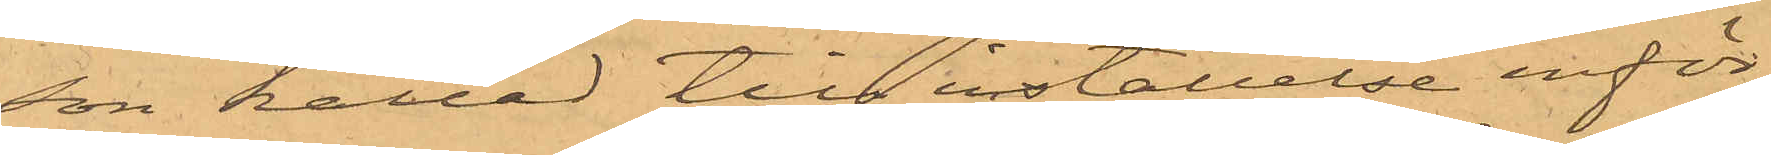son kallad till inställelse inför
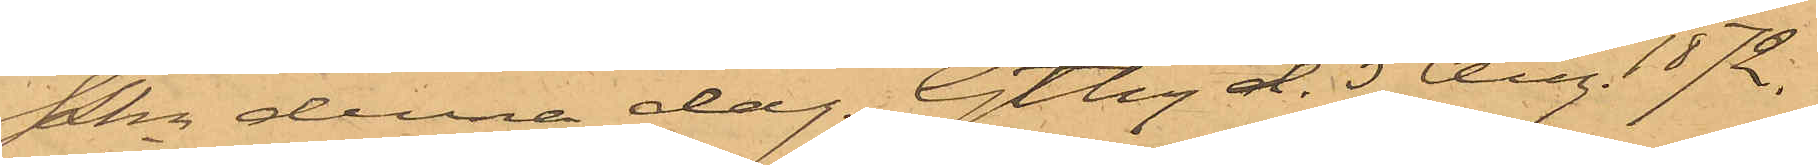Pkn denna dag. Gtbg d. 5 Aug. 1872.
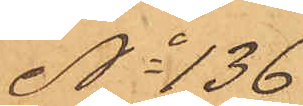No 136
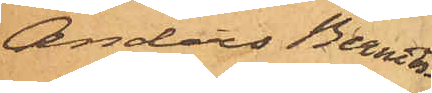Anders Berndt¬
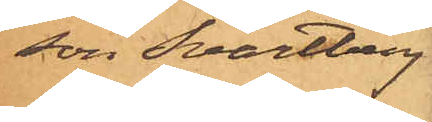son Svartberg
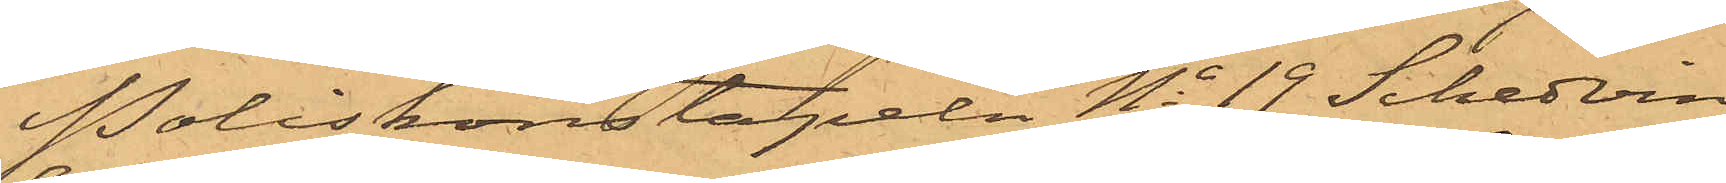Poliskonstapeln No 19 Schedvin
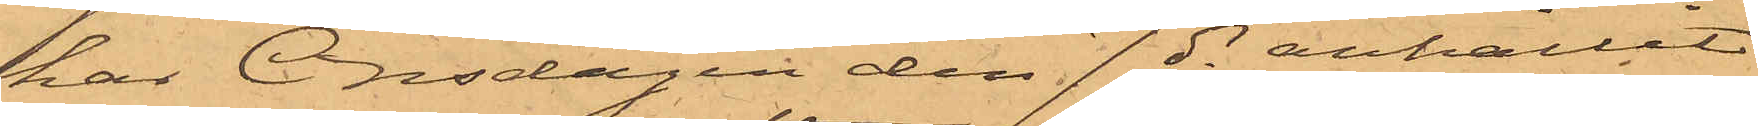har Onsdagen den 7 ds anhållit
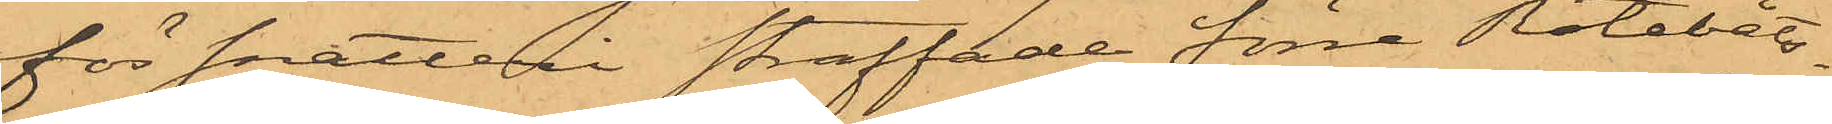för snatteri straffade förre Rotebåts¬
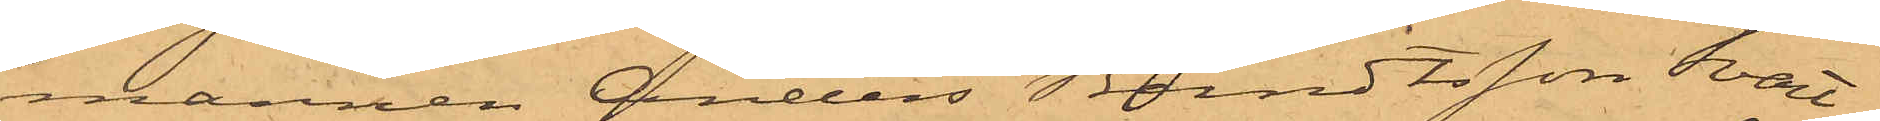mannen Anders Berndtsson Svart¬
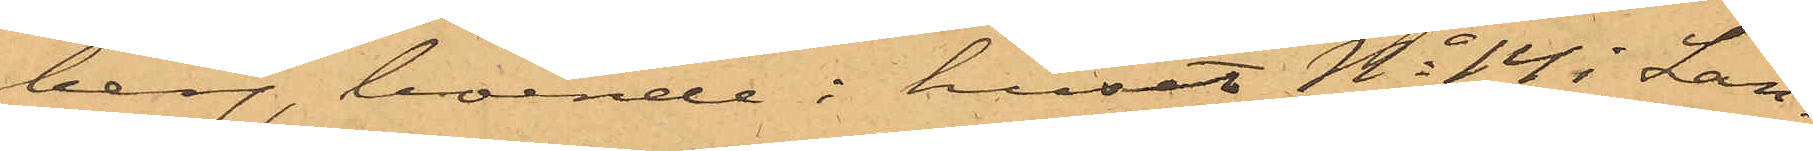berg, boende i huset No 14 i Lan¬
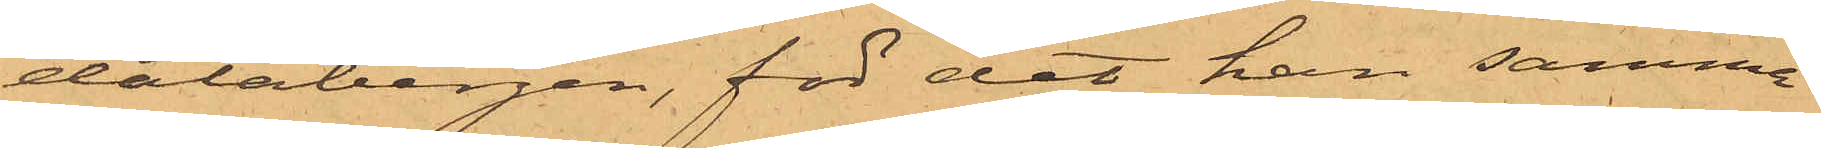dalabergen, för det han samma
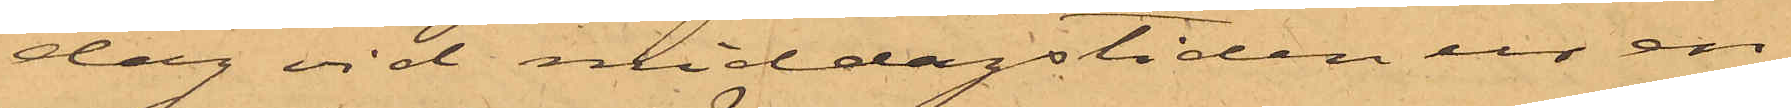dag vid middagstiden ur en
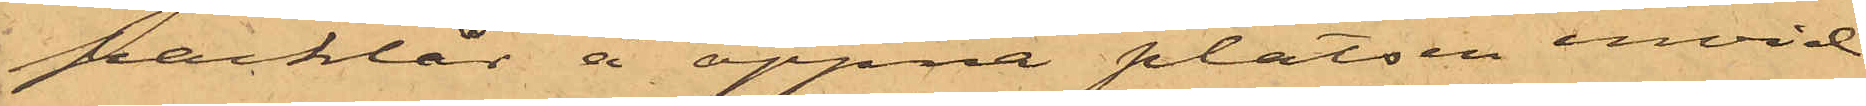packlår å öppna platsen invid
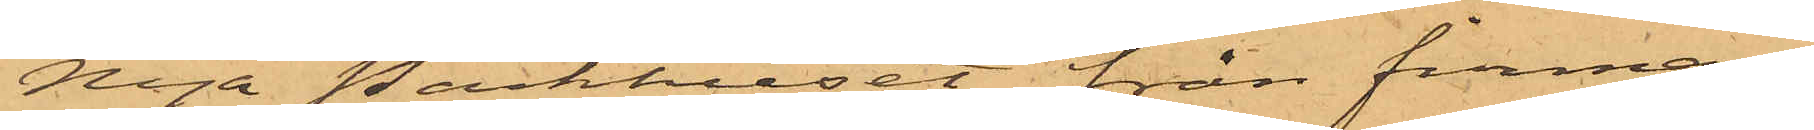Nya Packhuset från firman
